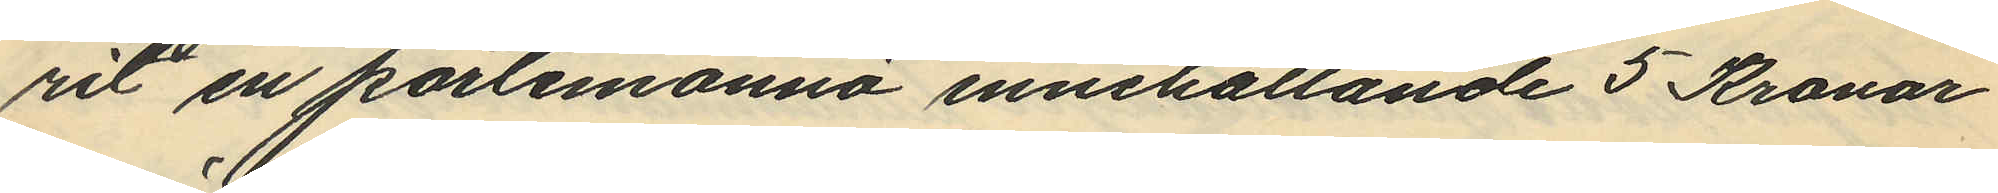rit en portemonnä innehållande 5 Kronor
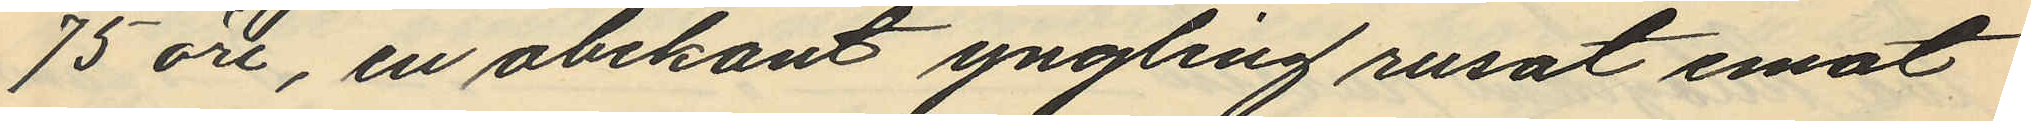75 öre, en obekant yngling rusat emot
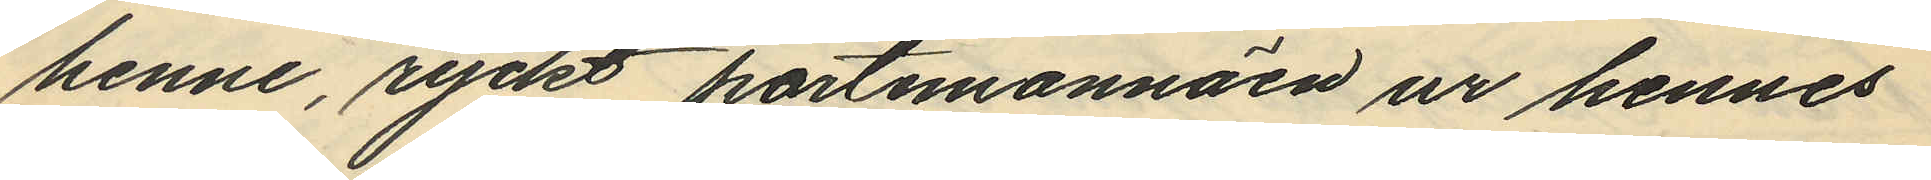henne, ryckt portemonnäen ur hennes
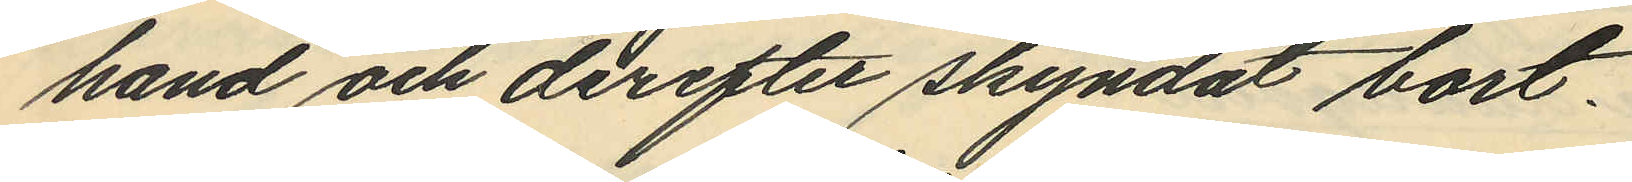hand och derefter skyndat bort.
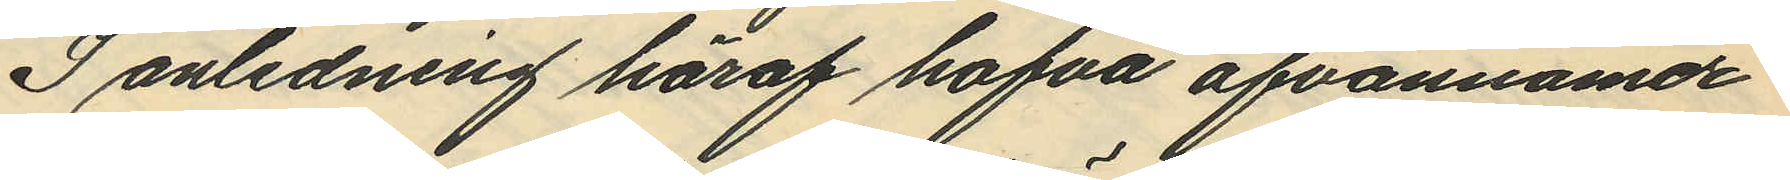I anledning häraf hafva ofvannämde
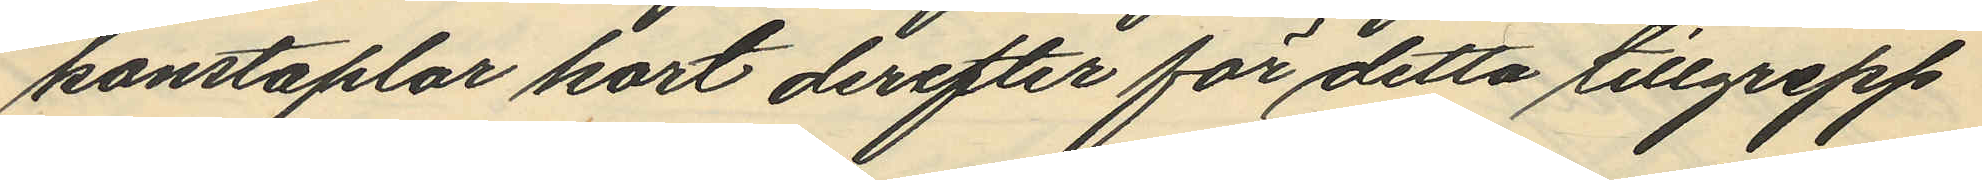konstaplar kort derefter för detta tillgrepp
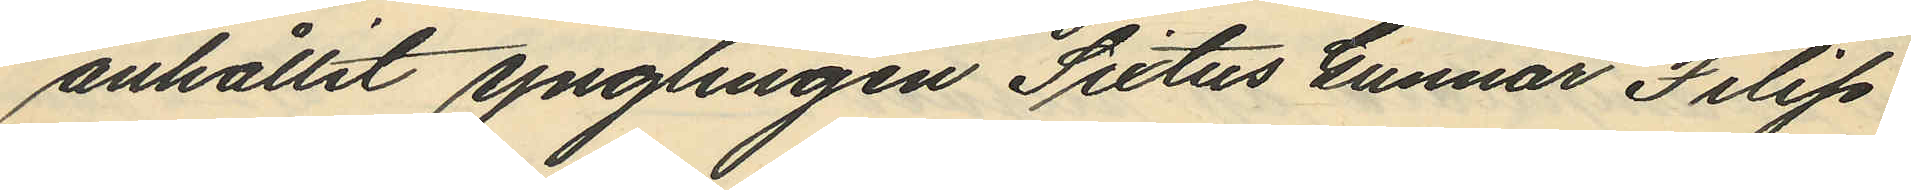anhållit ynglingen Sixtus Gunnar Filip
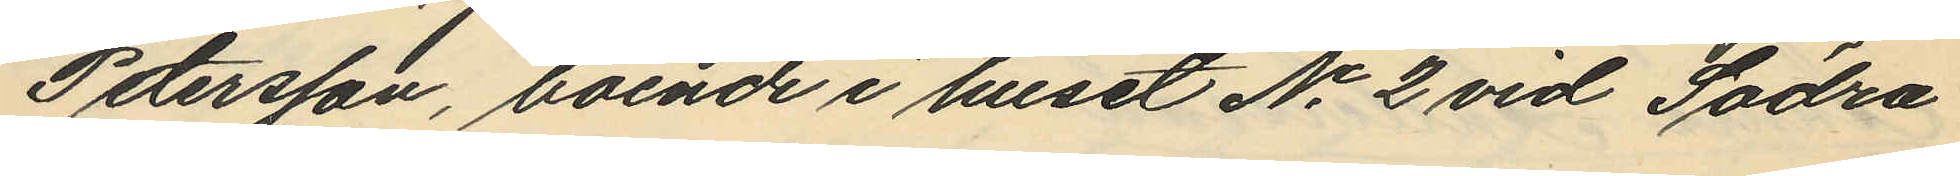Petersson, boende i huset No 2 vid Södra
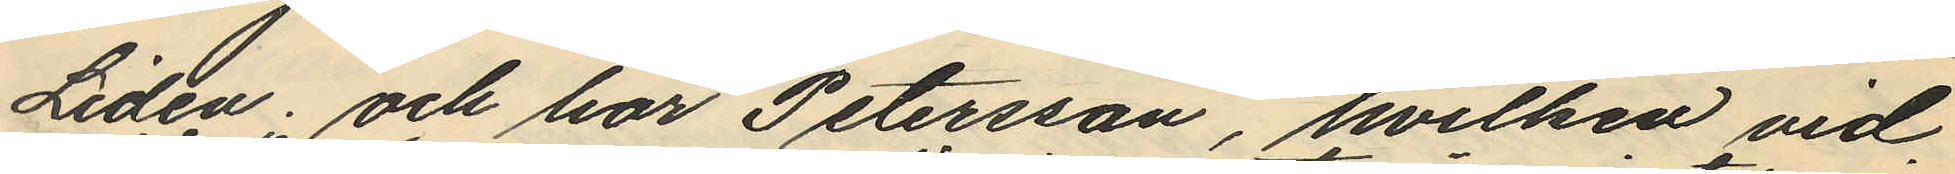Liden; och har Petersson, hvilken vid
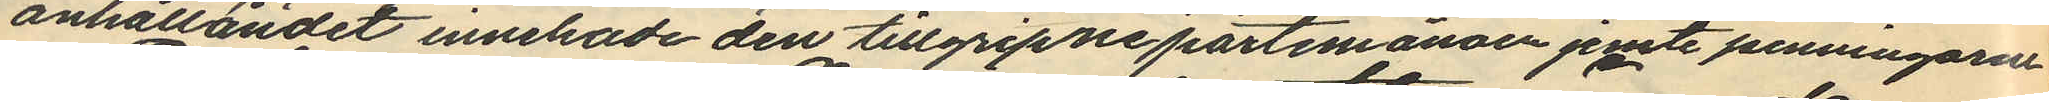anhållandet innehade den tillgripne portemonnäen jemte penningarne
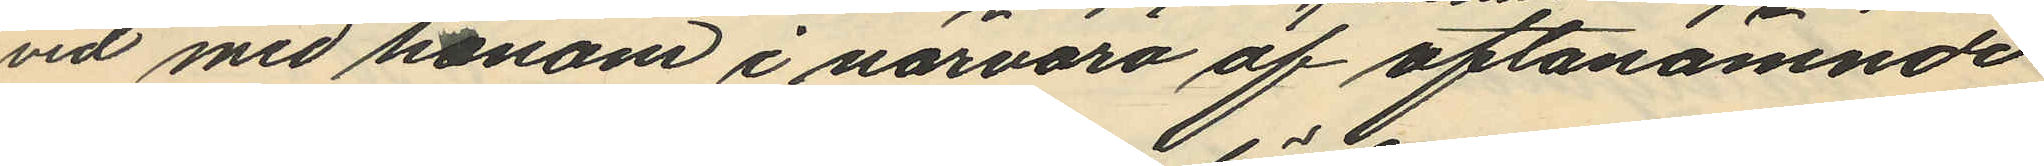vid med honom i närvaro af oftanämnde
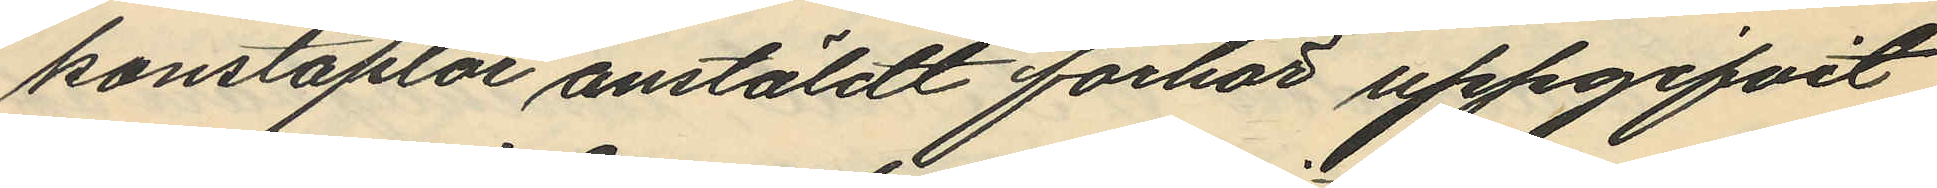konstaplar anstäldt förhör uppgifvit
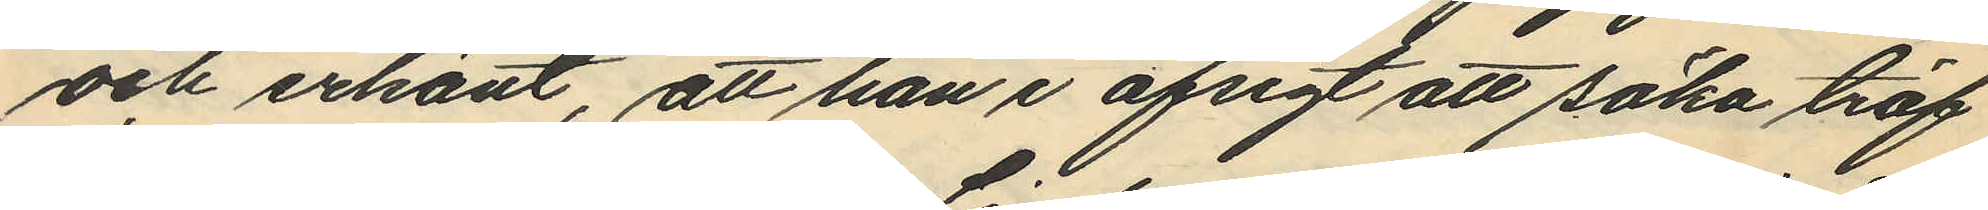och erkänt, att han i afsigt att söka träf
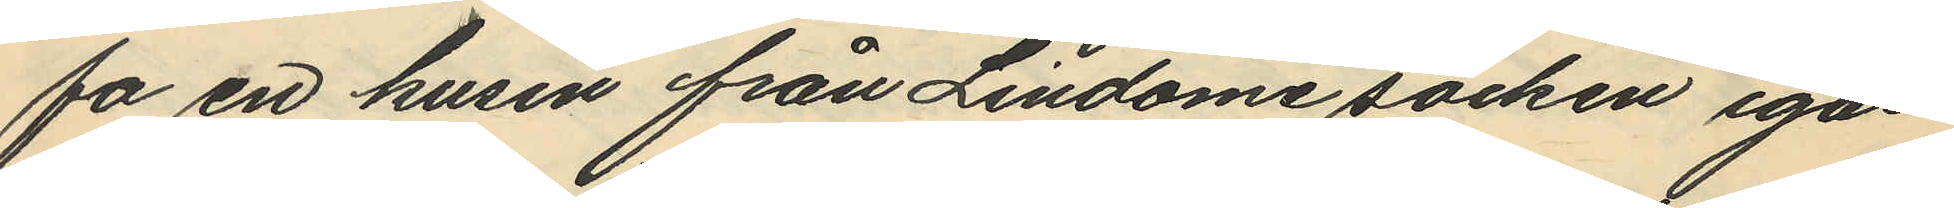fa en kusin från Lindome socken igår
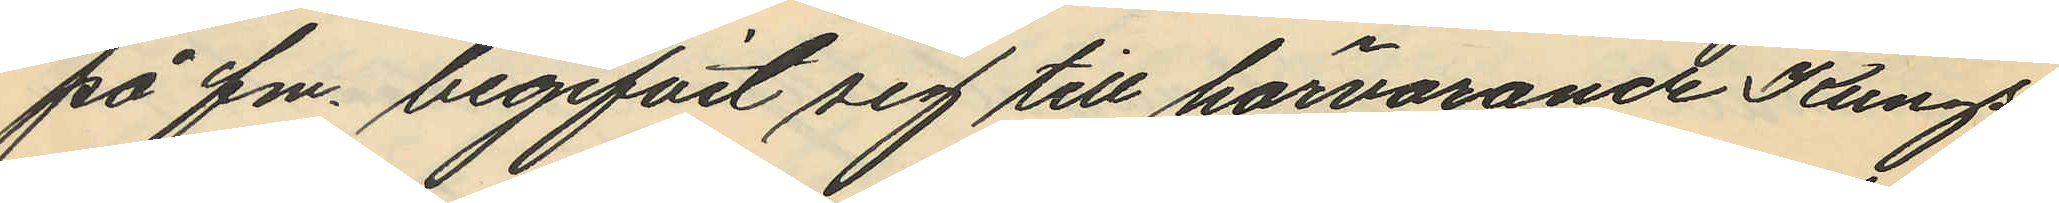på fm. begifvit sig till härvarande Kungs¬
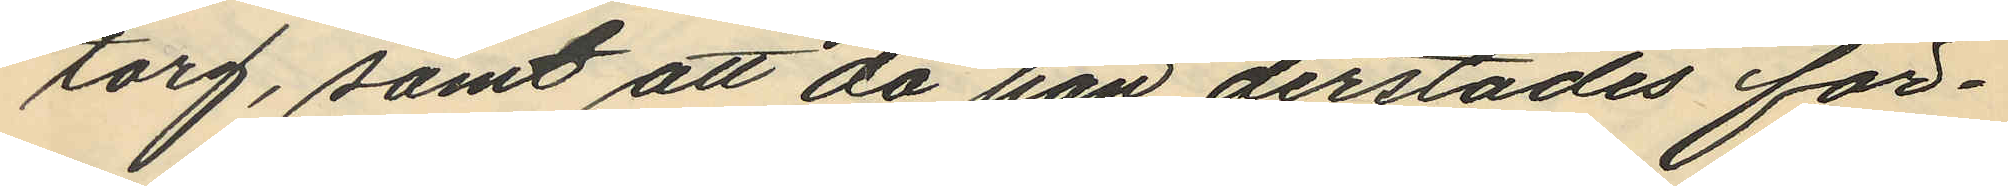torg, samt att då han derstädes för¬
